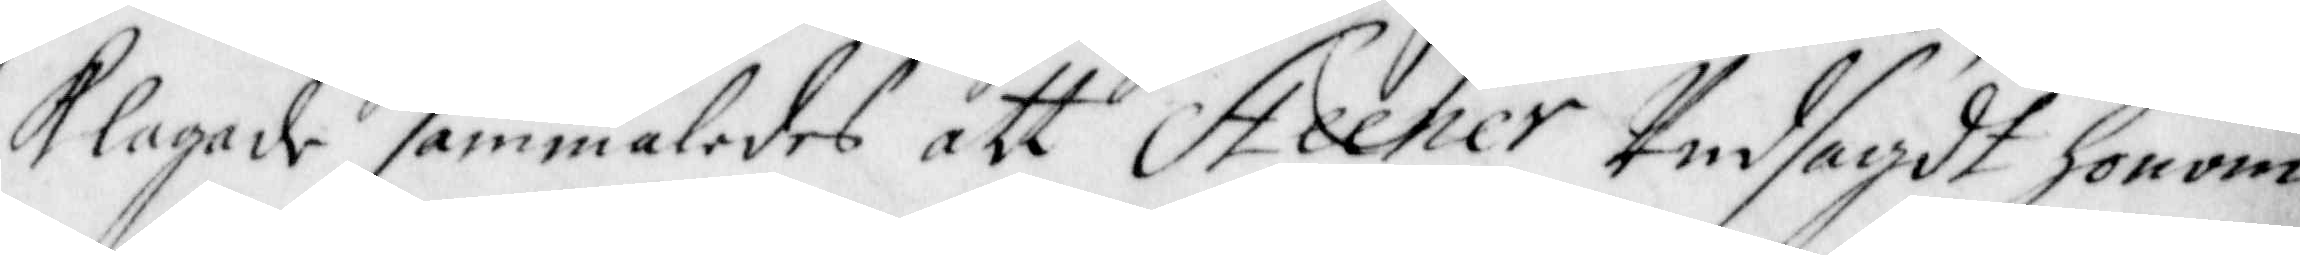Klagade sammaledes att Steener Undsagdt honom
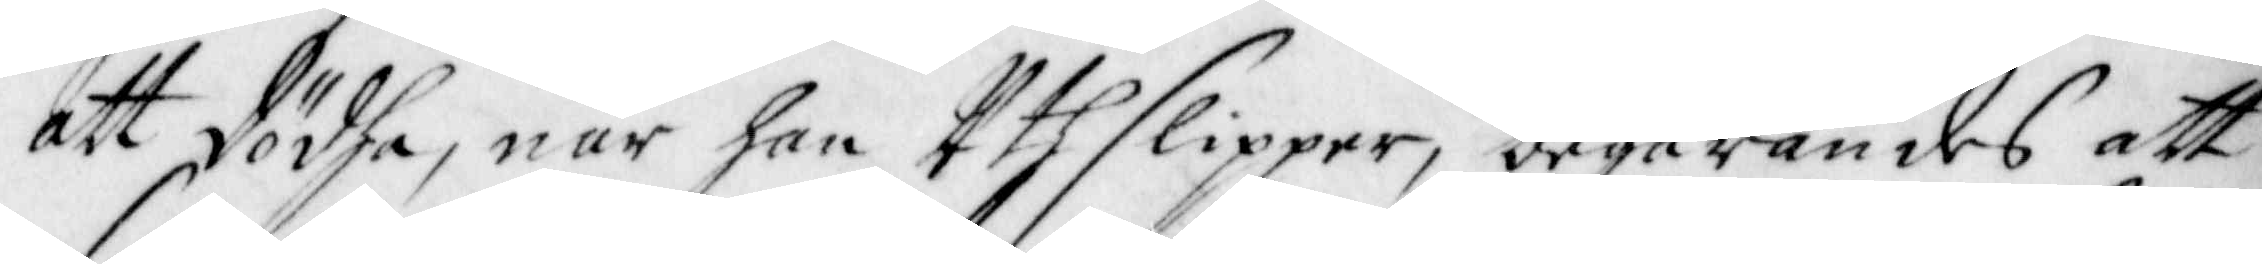att dödha, när han Uthslipper, begärandes att
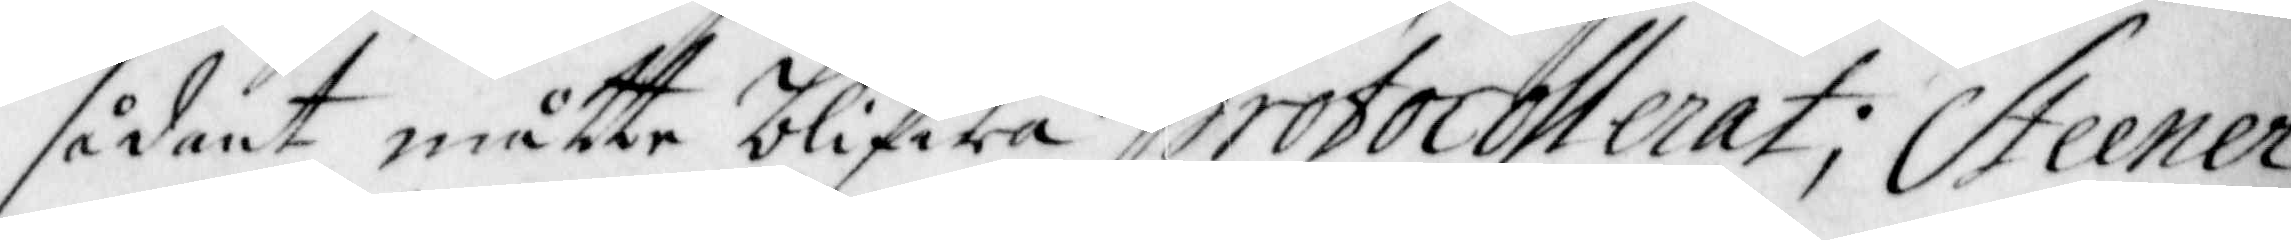sådant måtte blifwa Protocollerat; Steener
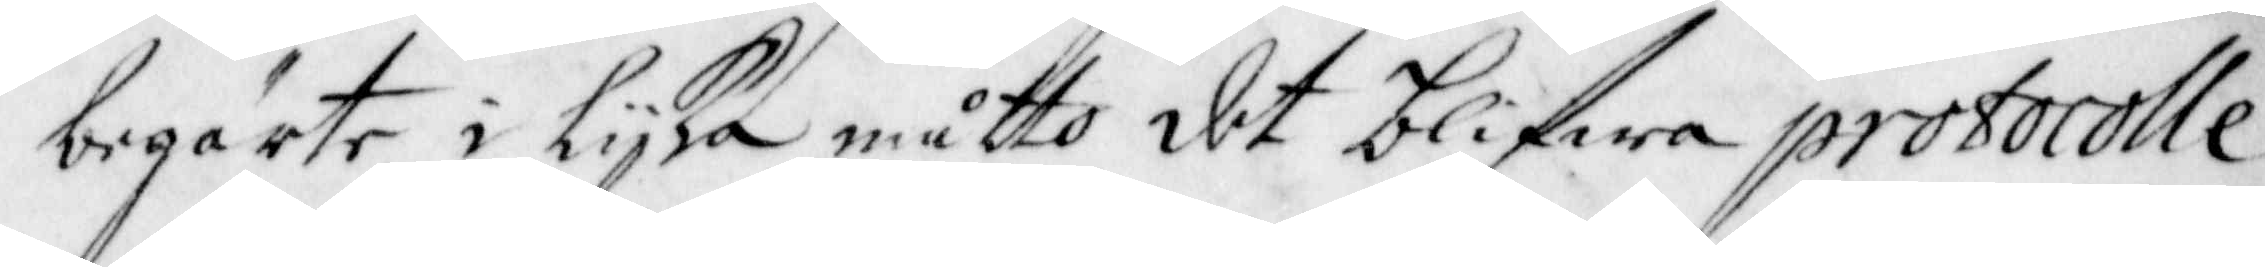begärte i lijka måtto det blifwa Protocolle¬
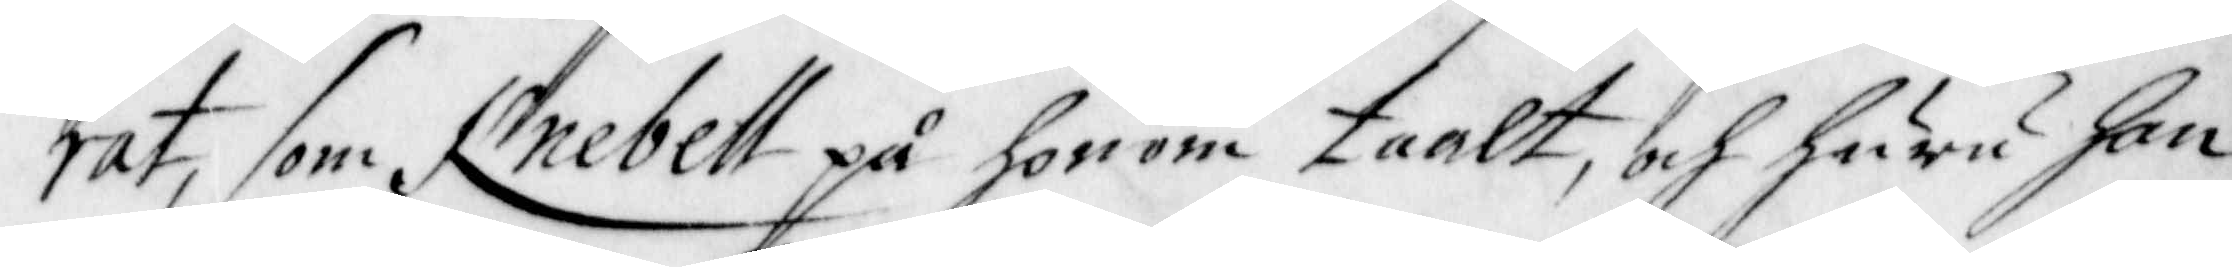rat, som Knebell på honom taalt, och huru han
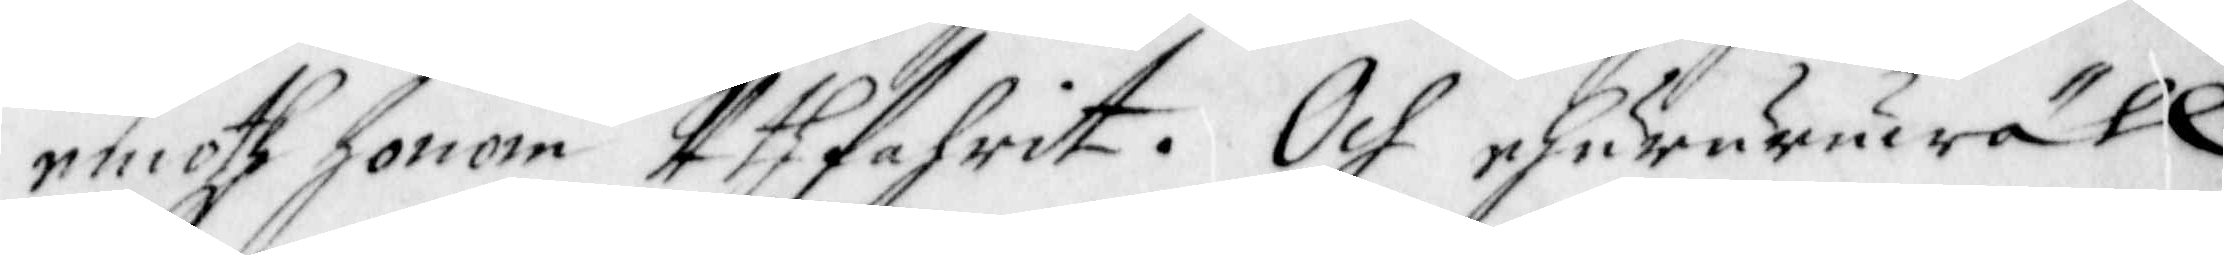emoth honom Uthfahrit. Och ehururuwäll
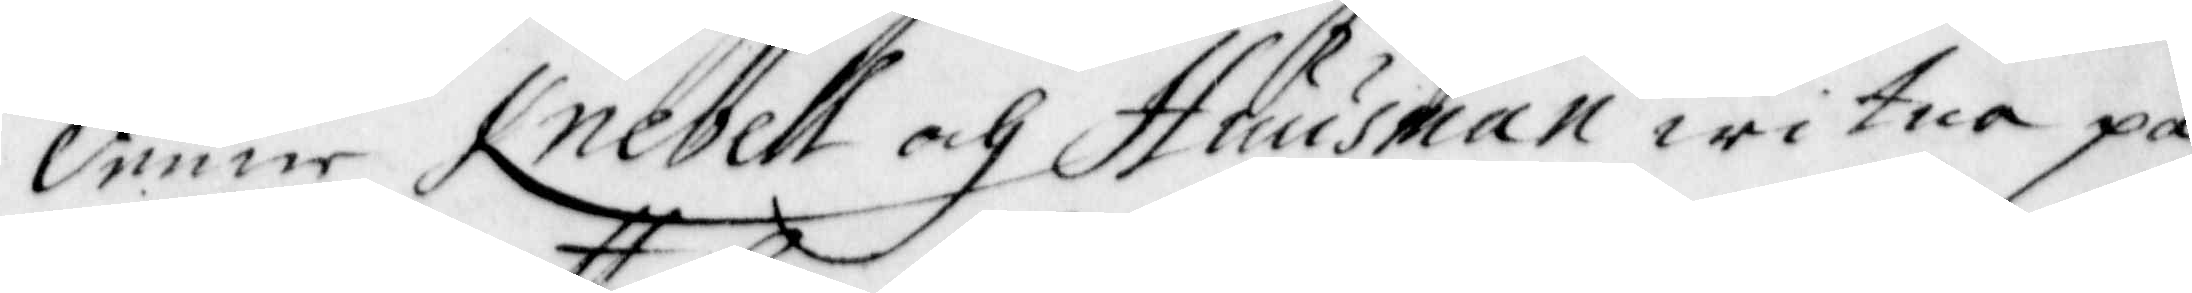denne Knebell och Huusman witna på
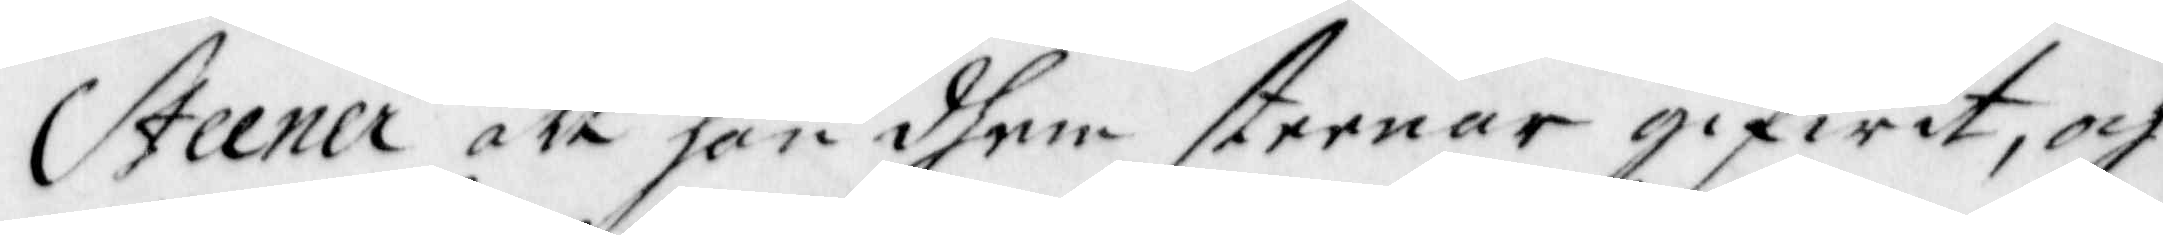Steener att han dhem steenar gifwit, och
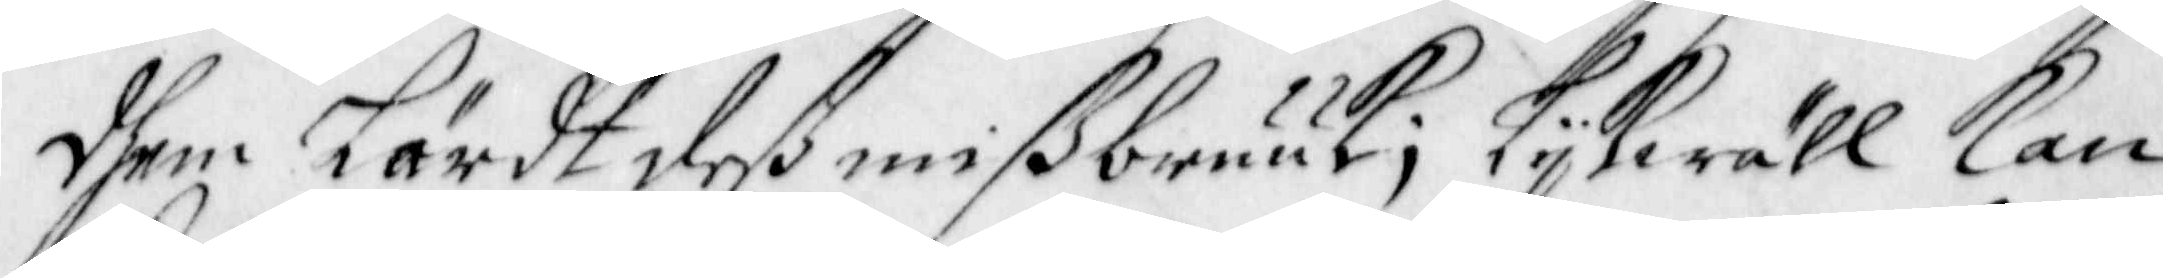dhem Lärdt deß mißbruuk; Lijkwäll kan
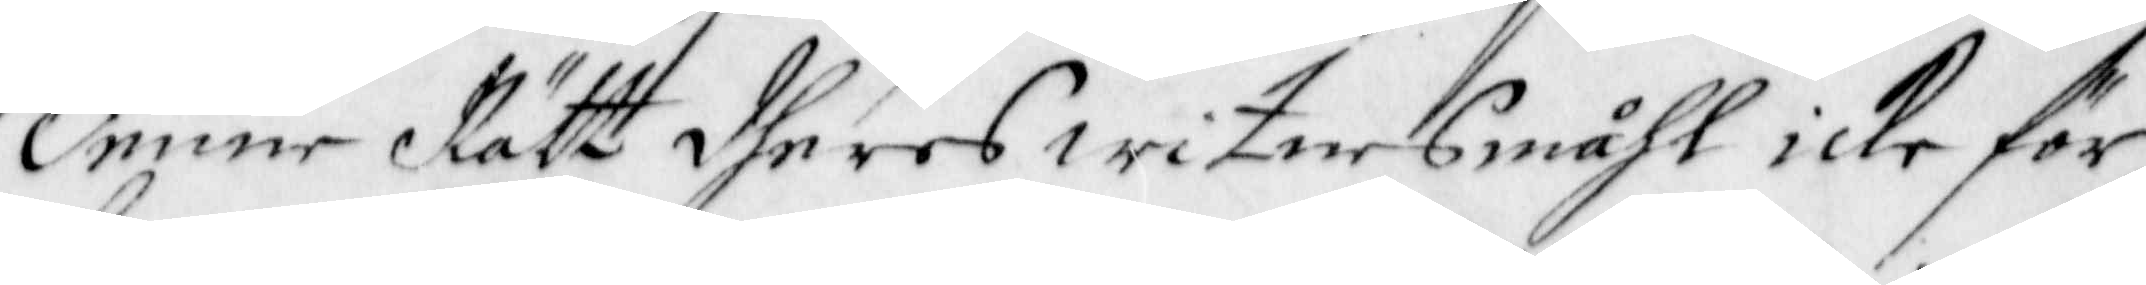denne Rätt dheres Witnes måhl icke för
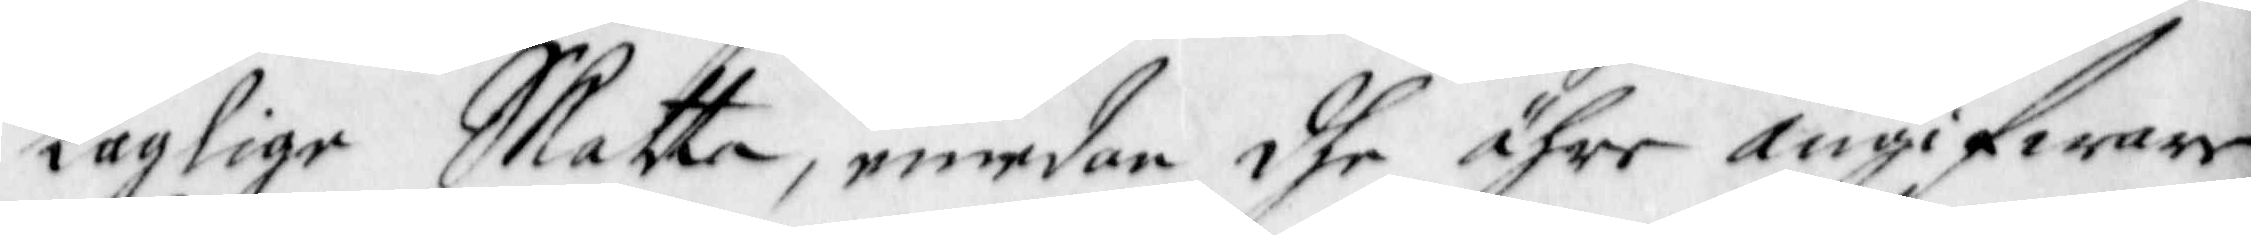laglige Skatta, emedan dhe ähre Angifware,
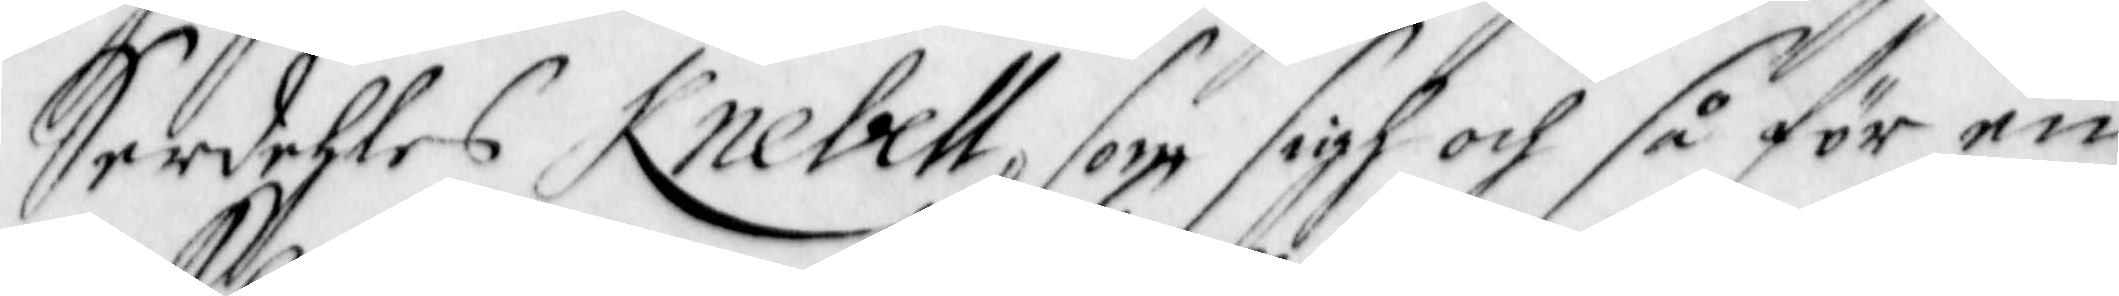Serdehles Knebell, som sig och så för en
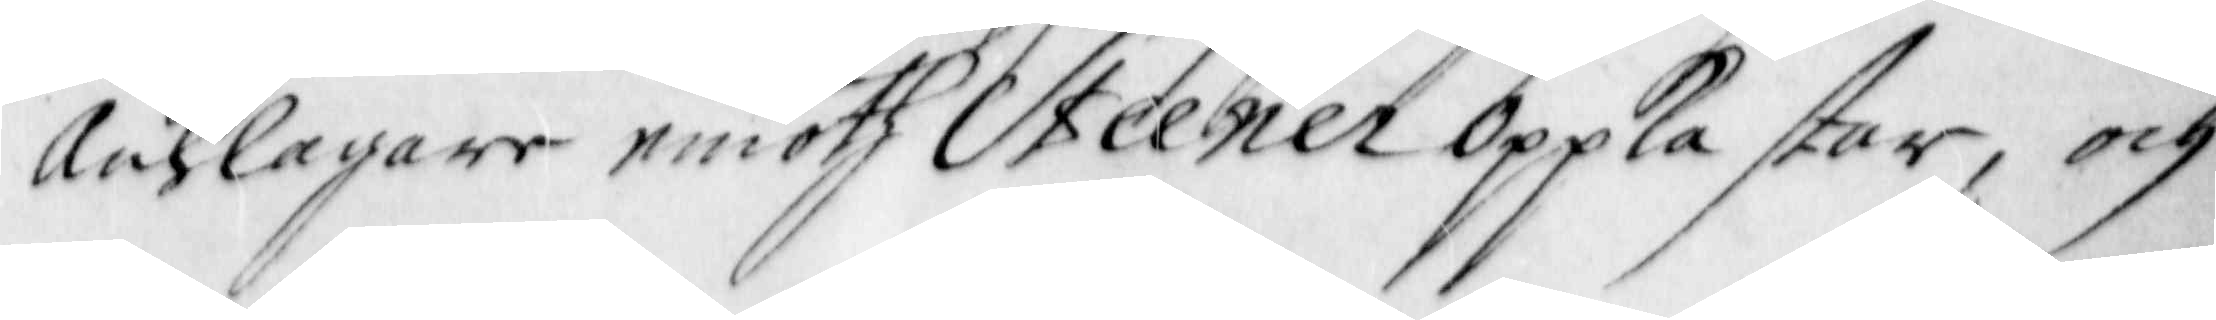Anklagare emoth Steener Oppkastar, och
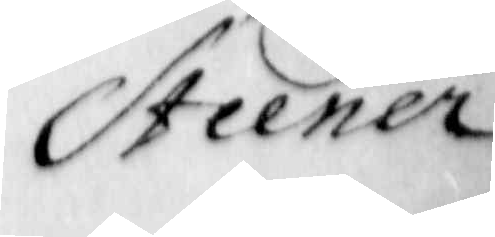Steener
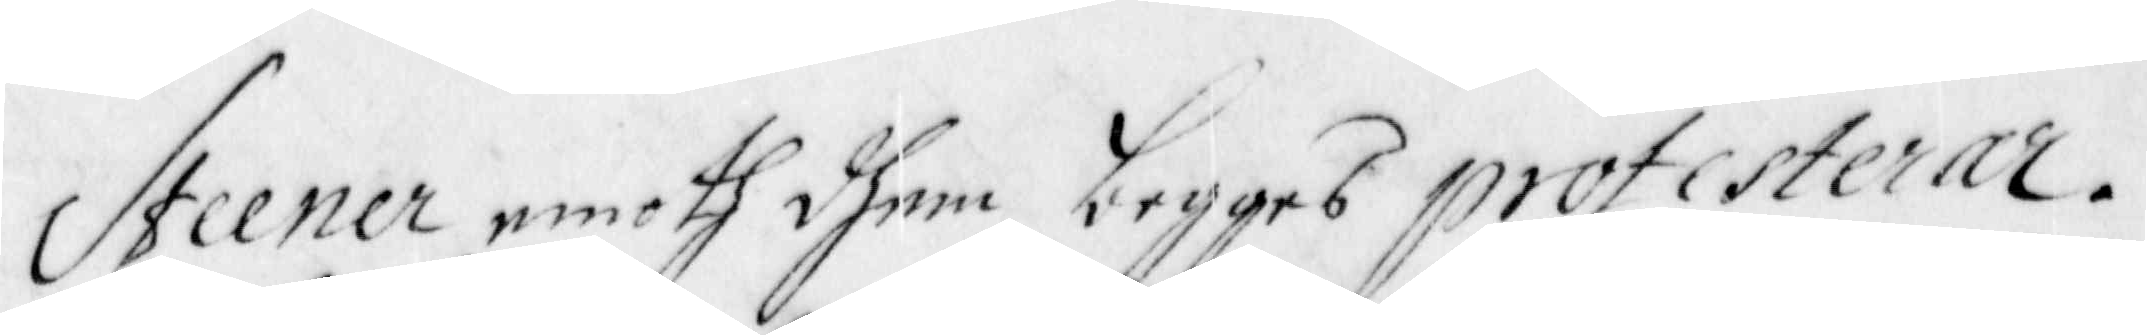Steener emoth dhem begges Protesterar.
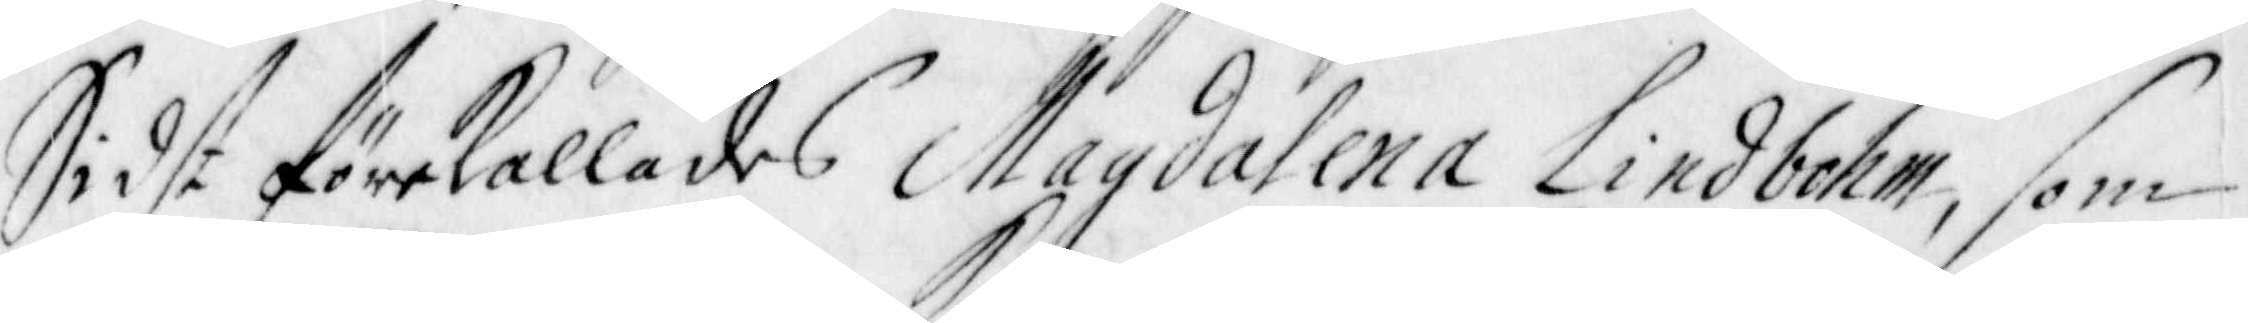Sidst förekallades Magdalena Lindbohm, som
